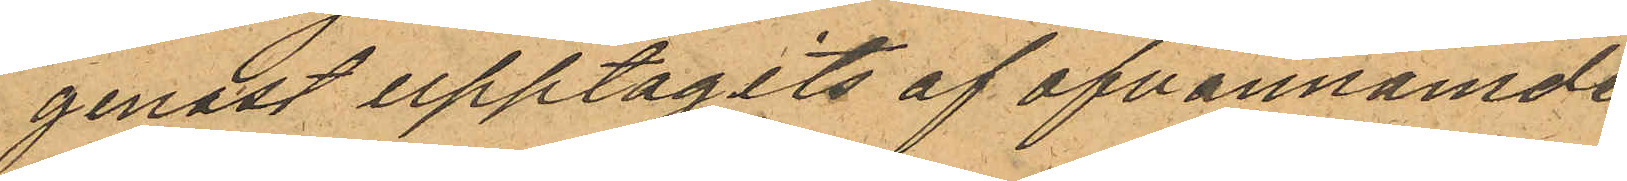genast upptagits af ofvannämde
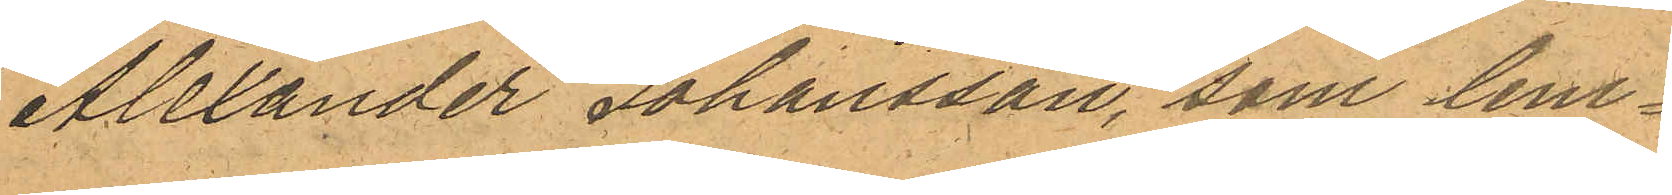Alexander Johansson, som lem¬
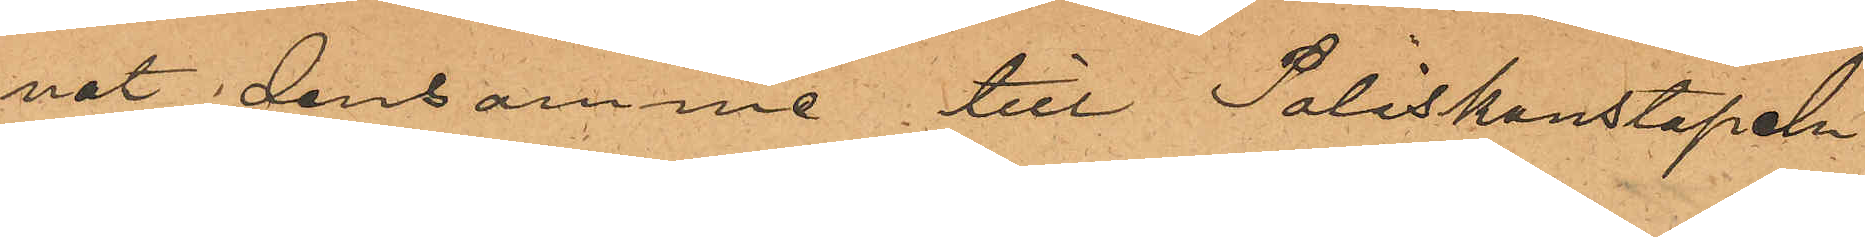nat densamme till Poliskonstapeln
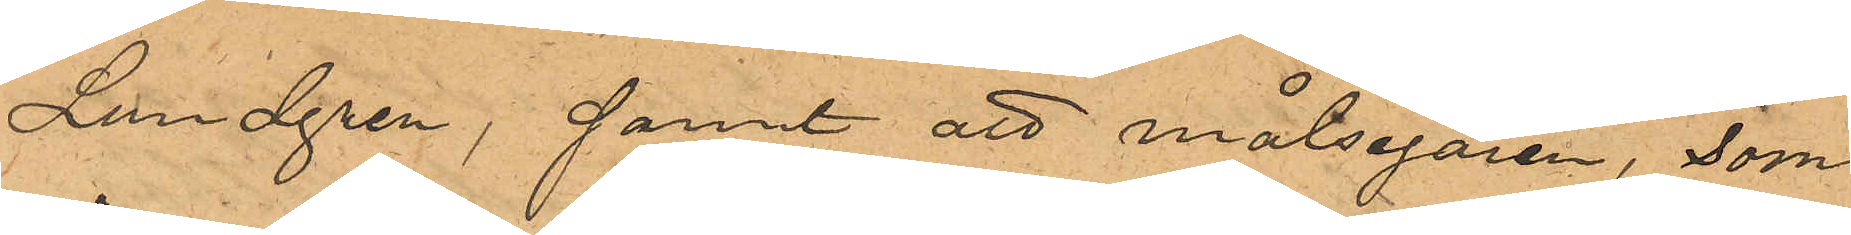Lundgren; samt att målsegaren, som
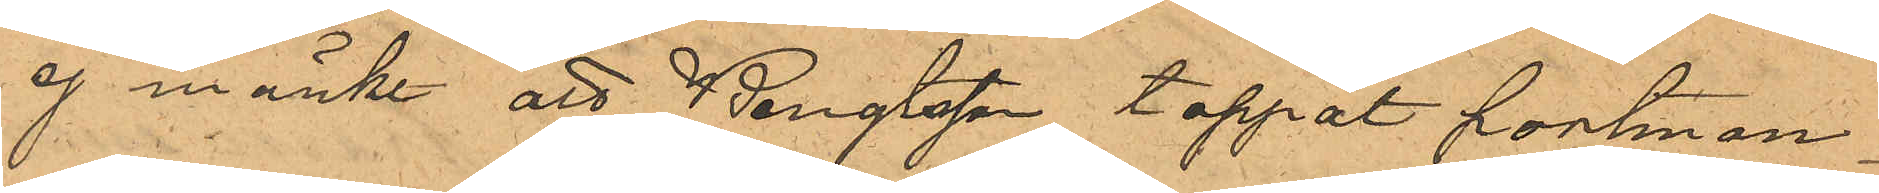ej märkt att Bengtsson tappat portmon¬
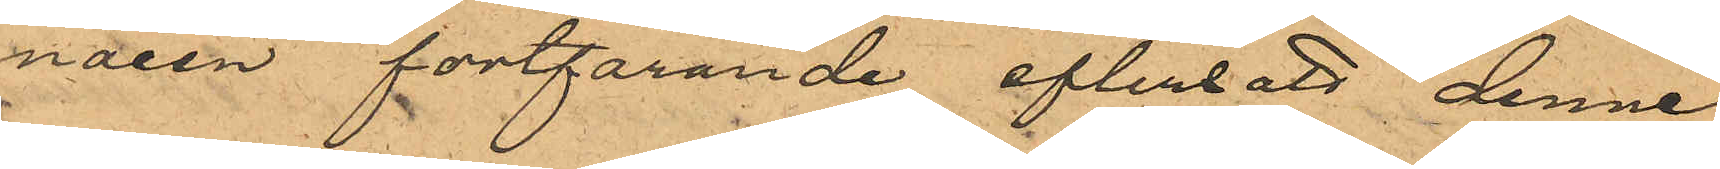naien fortfarande eftersatt denne
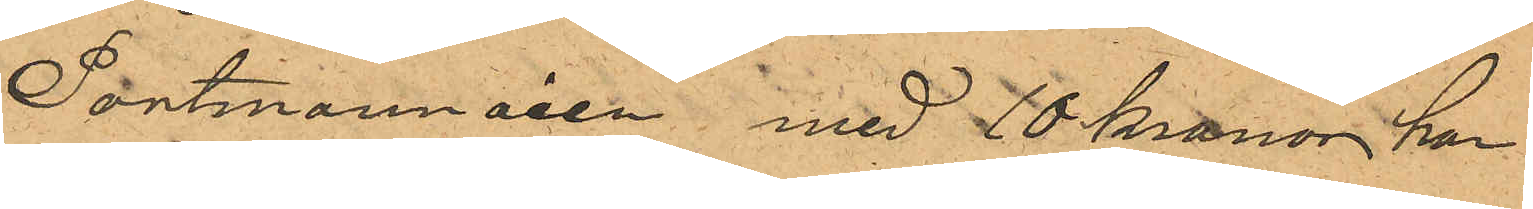Portmonnäen med 10 kronor har
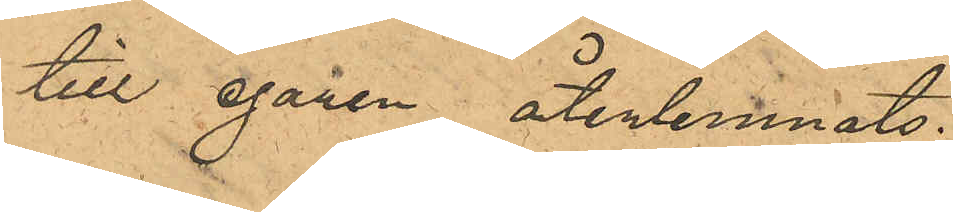till egaren återlemnats.
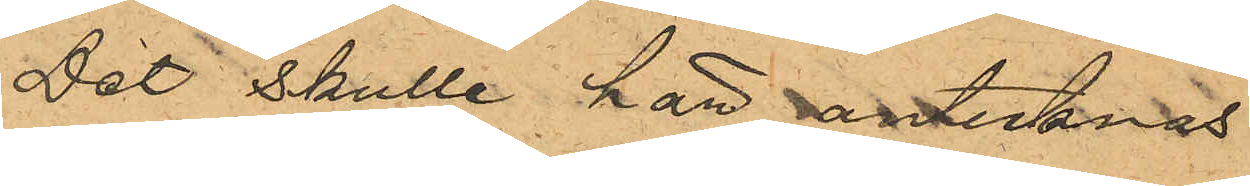Det skulle här antecknas
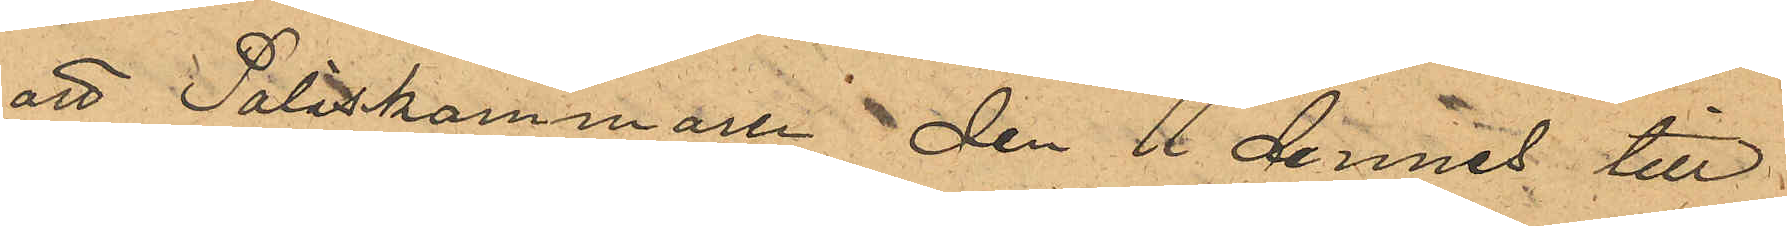att Poliskammaren den 11 dennes till
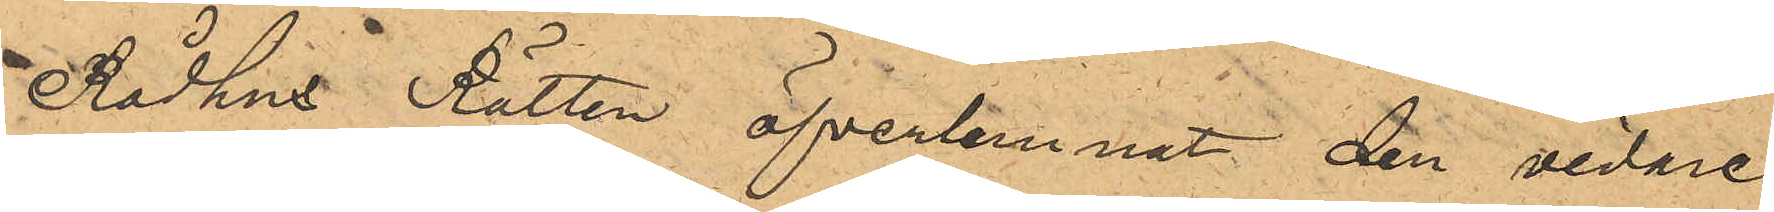Rådhus Rätten öfverlemnat den vidare
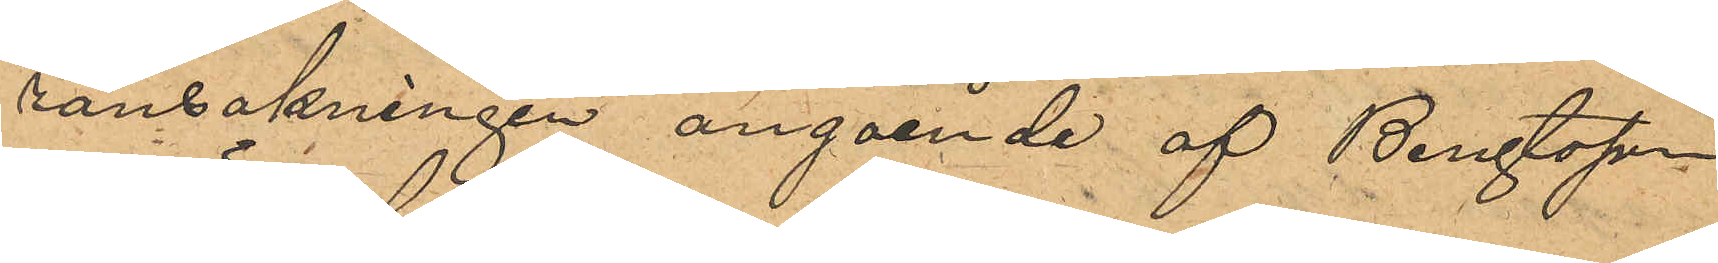ransakningen angående af Bengtsson
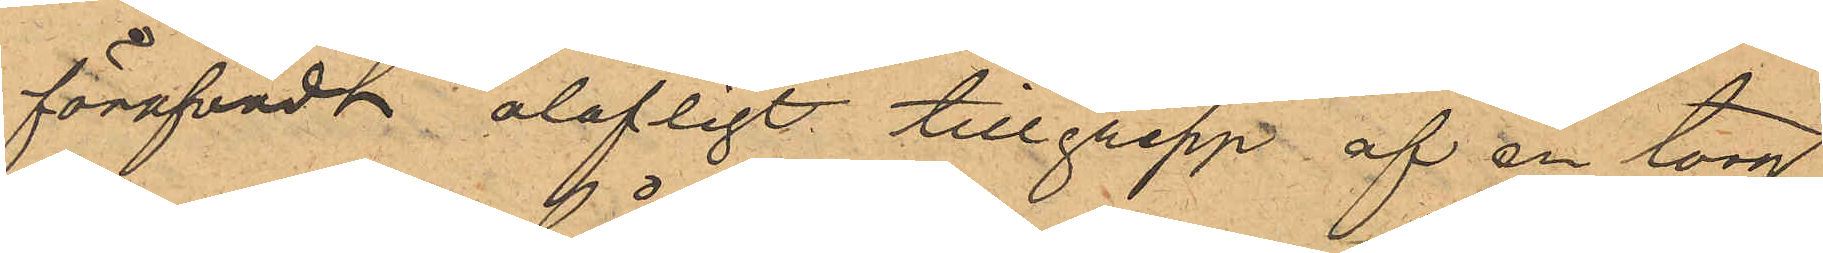föröfvadt olofligt tillgrepp af en torg¬
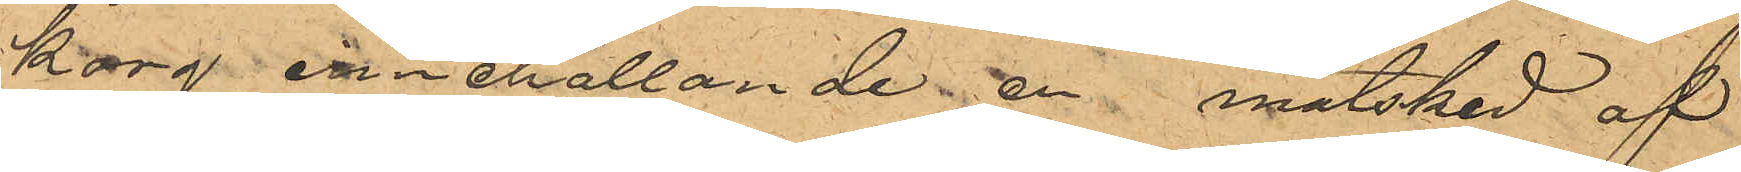korg innehållande en matsked af
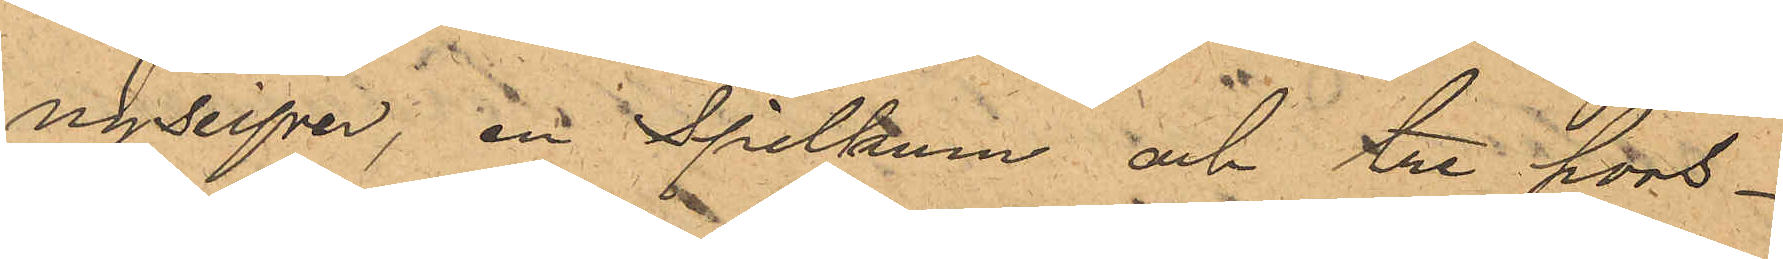nysilfver, en Spillkum och tre pors¬
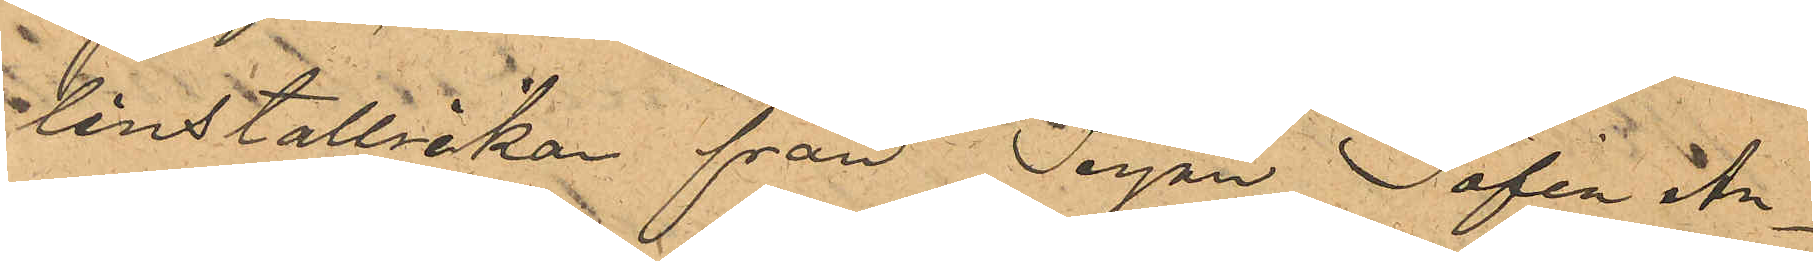linstallrikar från Pigan Sofia An¬
